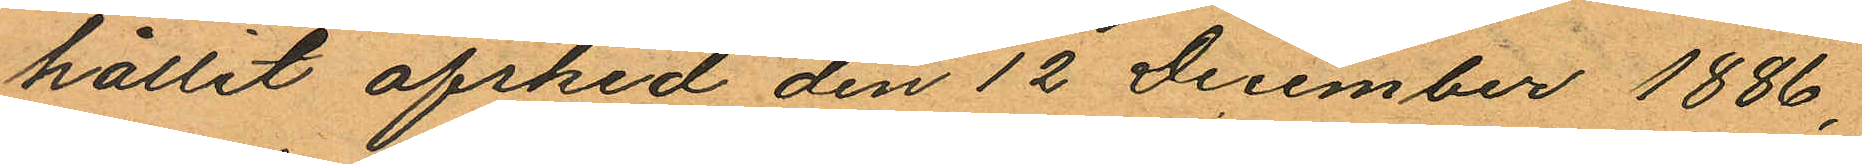hållit afsked den 12 December 1886,
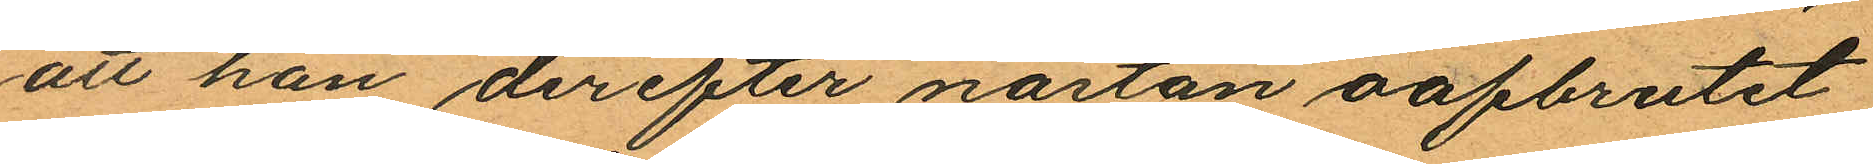att han derefter nästan oafbrutet
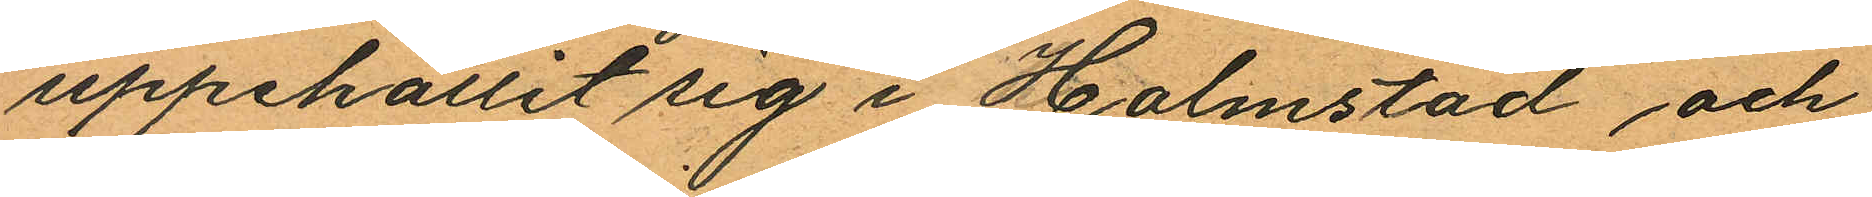uppehållit sig i Halmstad och
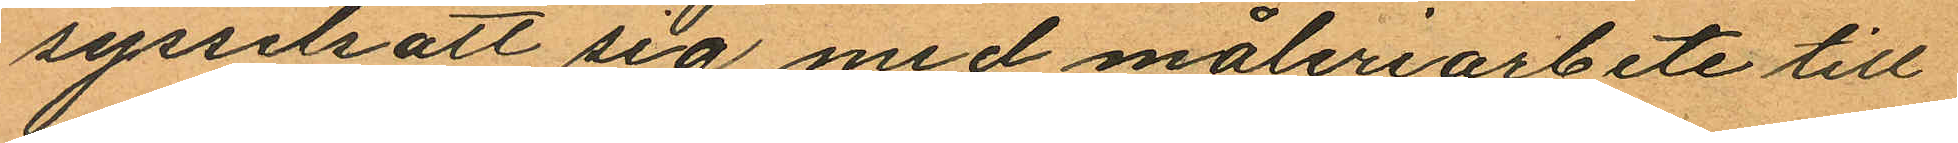sysselsatt sig med måleriarbete till
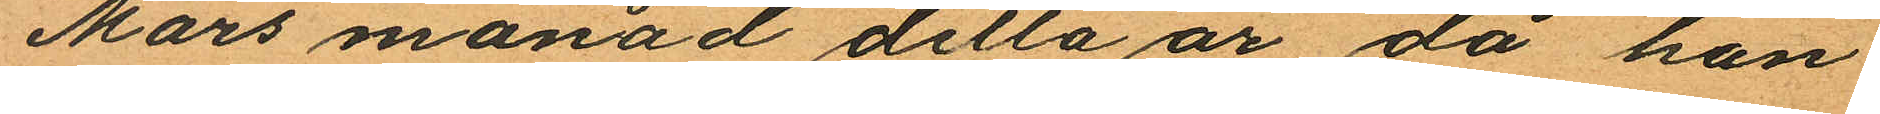Mars månad detta år, då han
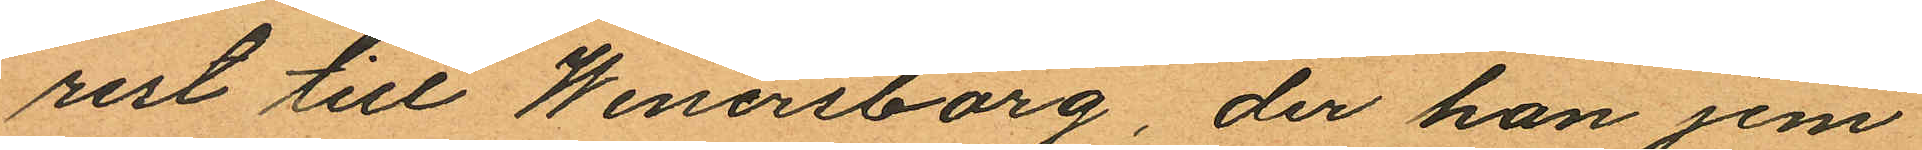rest till Wenersborg, der han jem
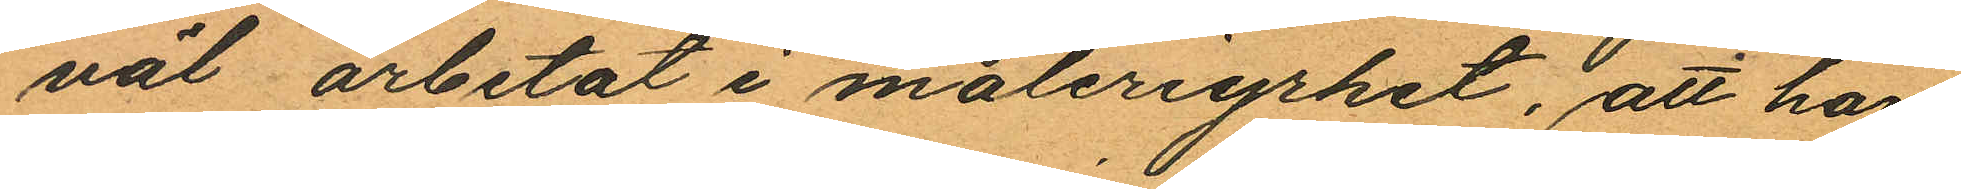väl arbetat i måleriyrket, att han,
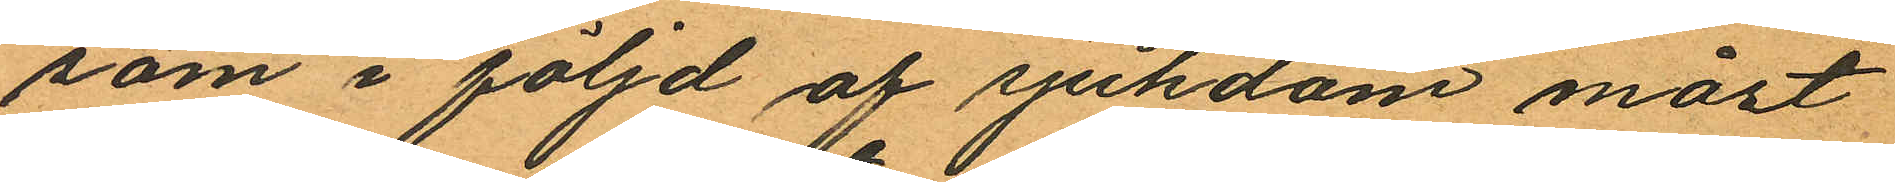som i följd af sjukdom måst
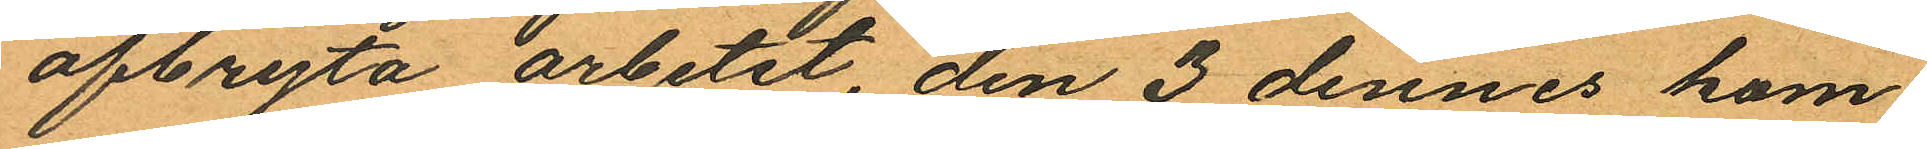afbryta arbetet, den 3 dennes kom¬
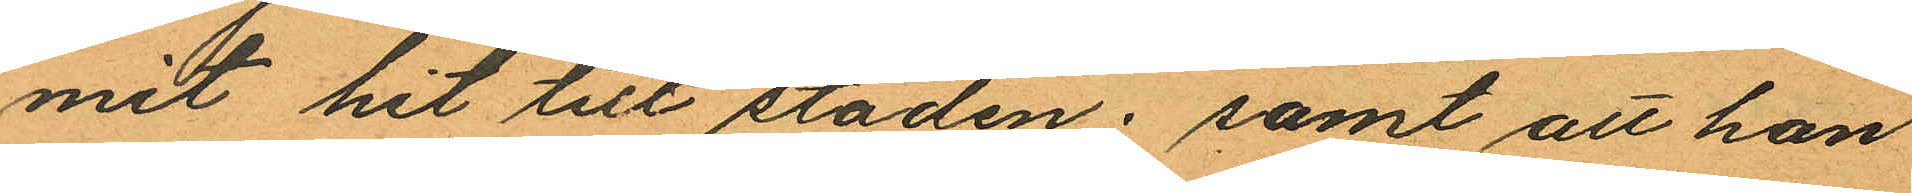mit hit till staden; samt att han
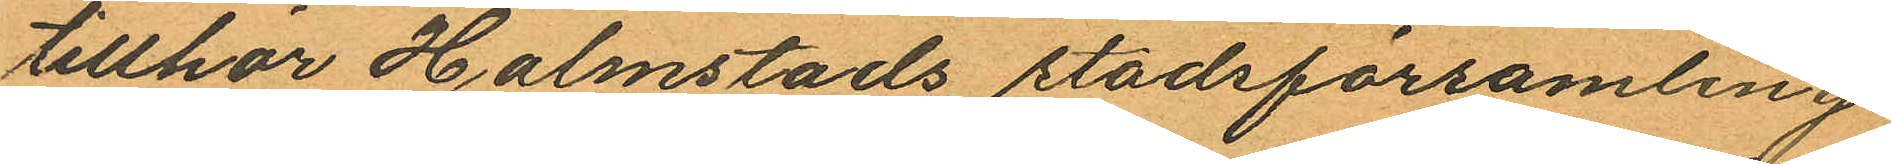tillhör Halmstads stadsförsamling
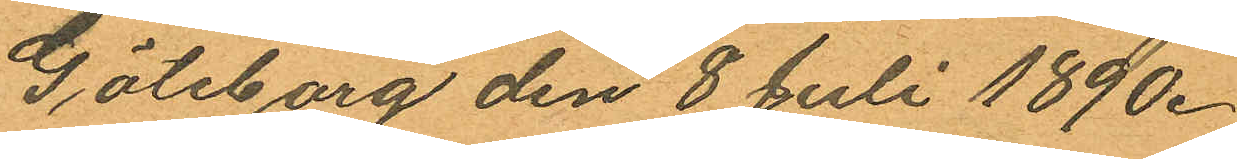Göteborg den 8 Juli 1890.
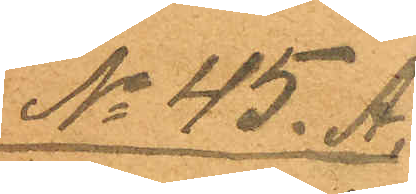No 45. A.
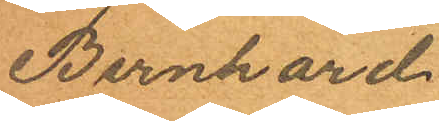Bernhard
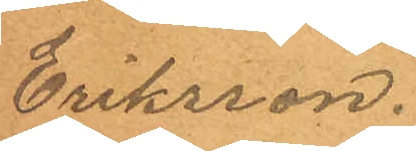Eriksson.
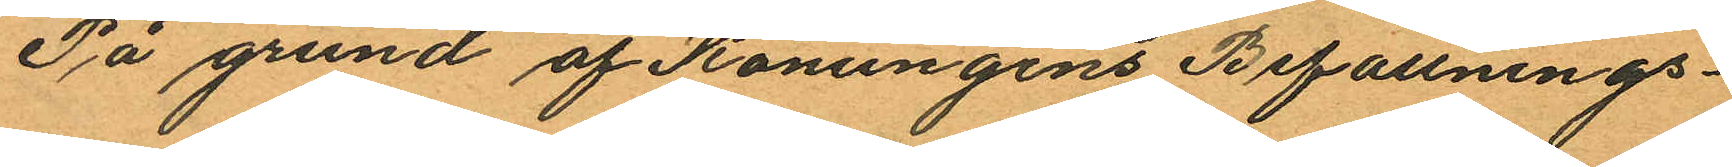På grund af Konungens Befallnings¬
